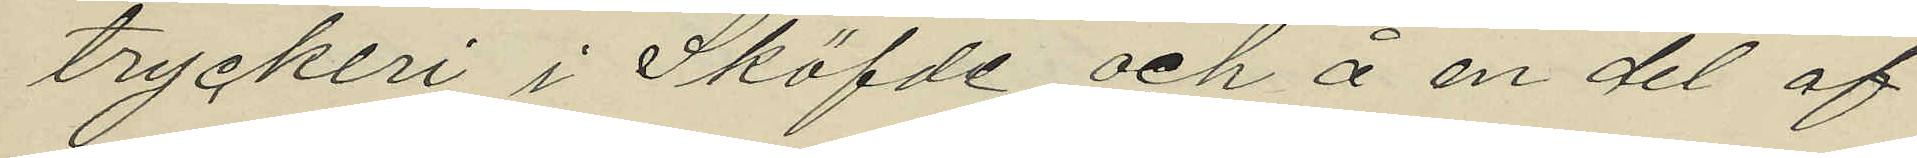tryckeri i Sköfde och å en del af
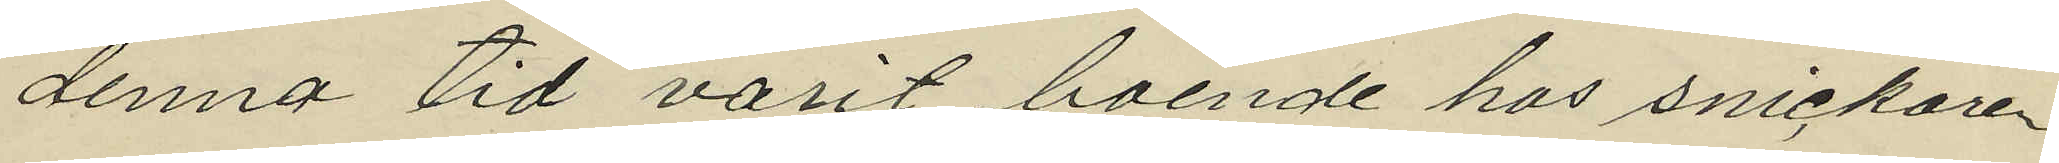denna tid varit boende hos snickaren
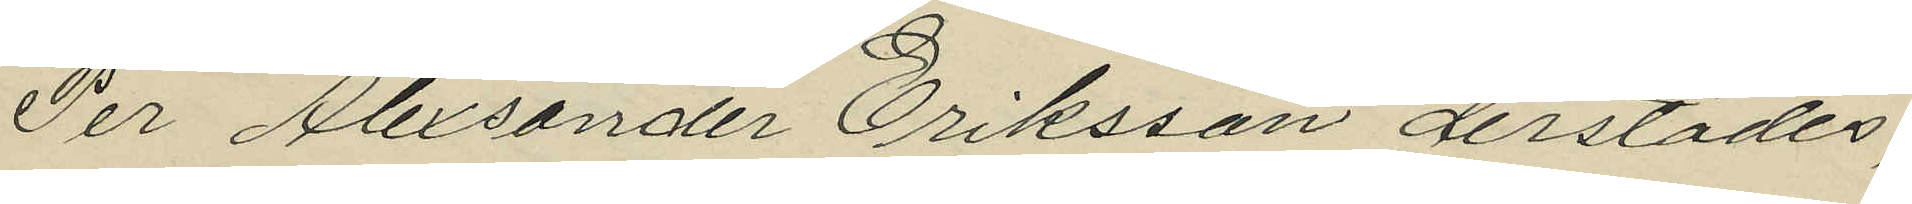Per Alexander Eriksson derstädes,
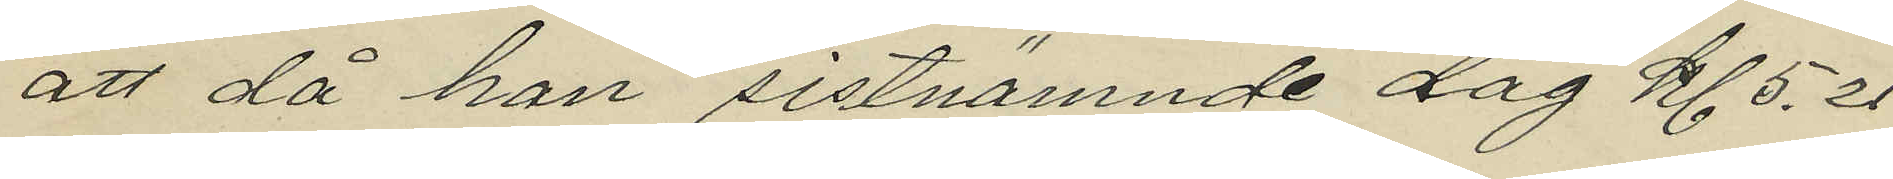att då han sistnämnde dag kl. 5.20
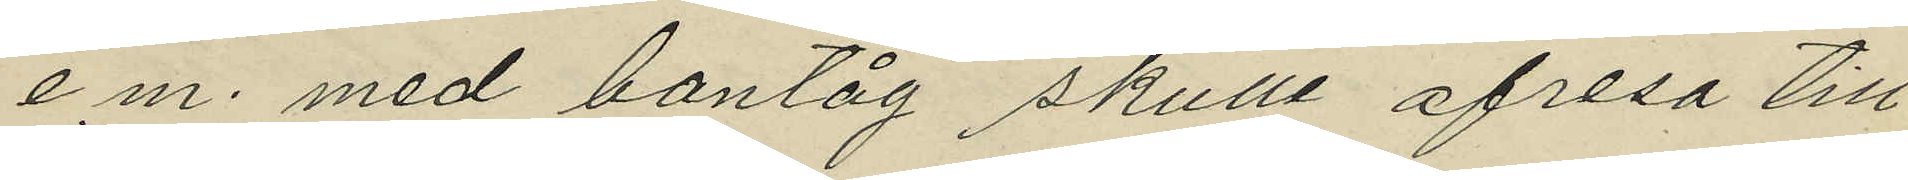e.m. med bantåg skulle afresa till
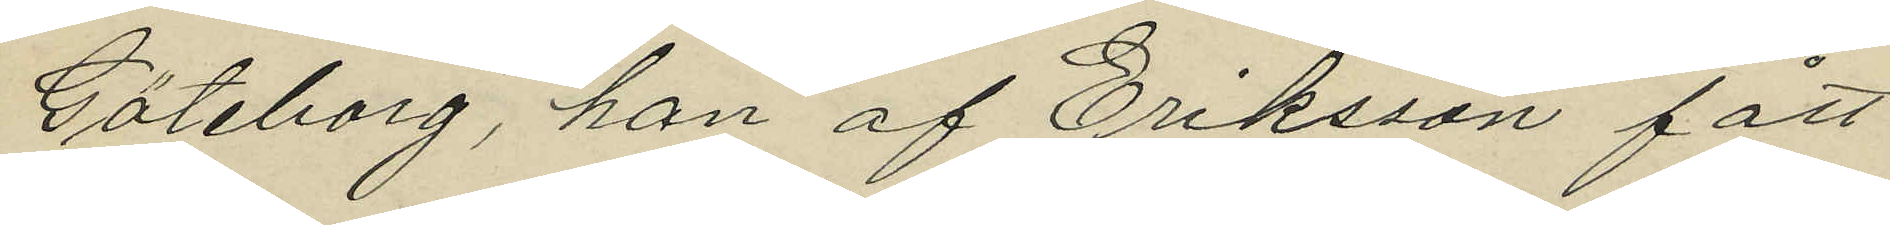Göteborg, han af Eriksson fått
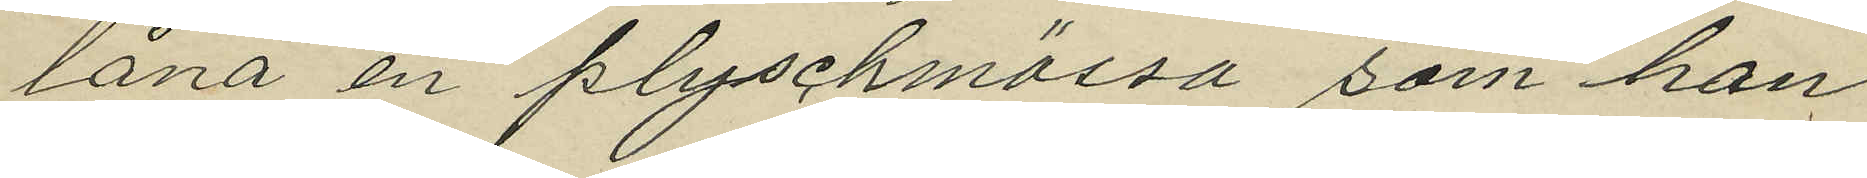låna en plyschmössa som han
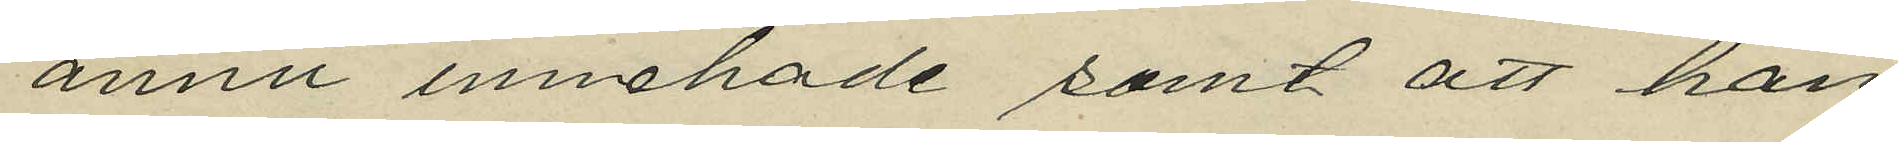ännu innehade samt att han
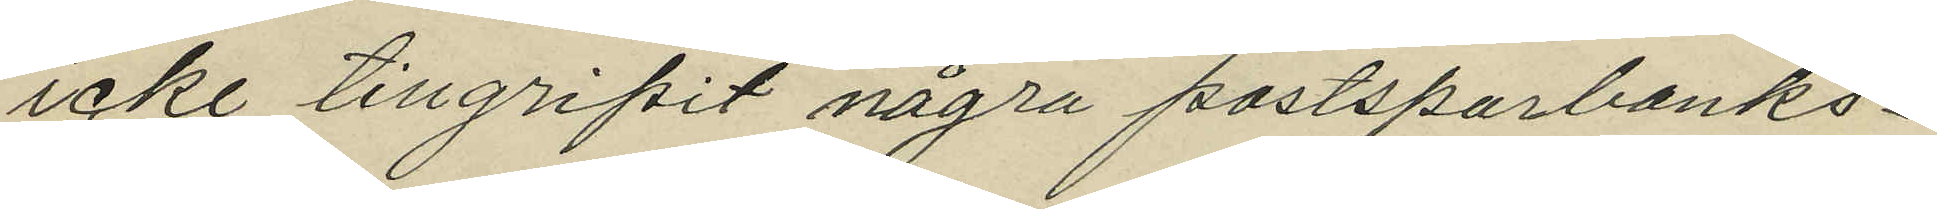icke tillgripit några postsparbanks¬
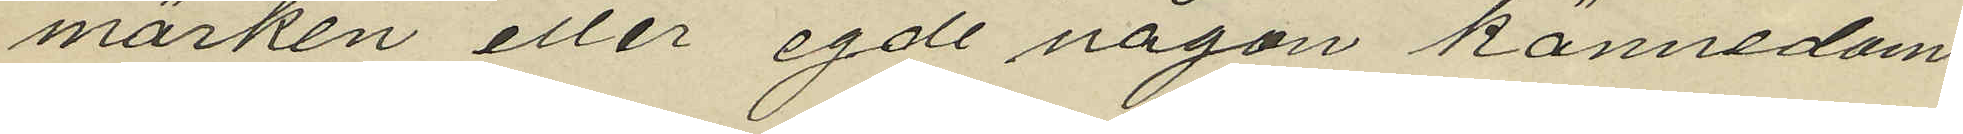märken eller egde någon kännedom.
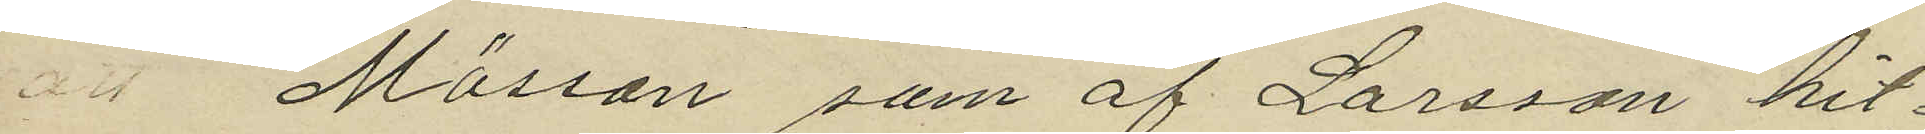 Mössan som af Larsson hit¬
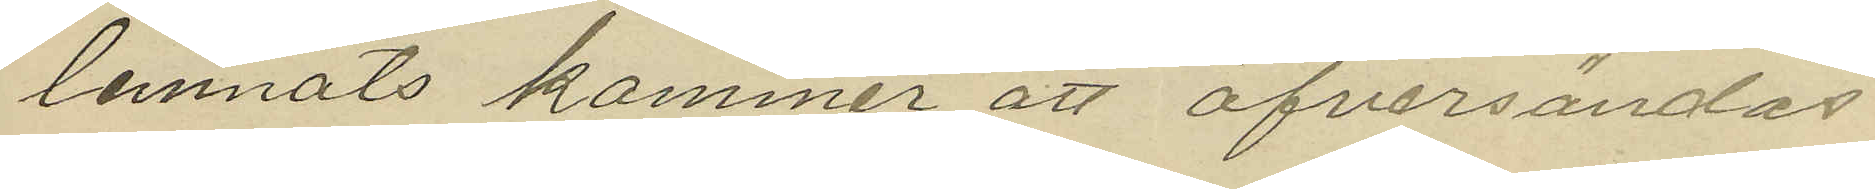lemnats kommer att öfversändas
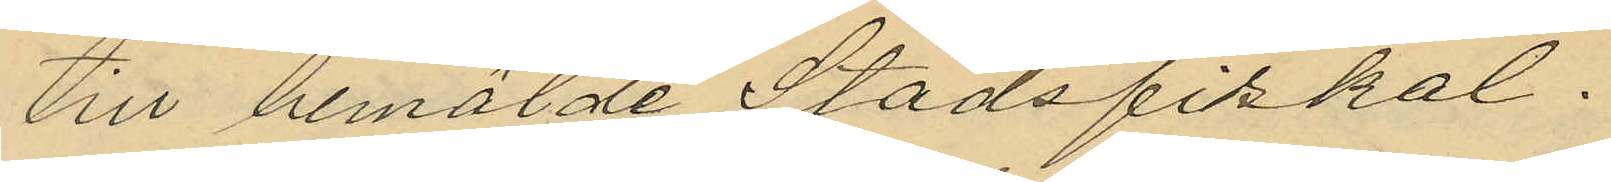till bemälde Stadsfiskal.
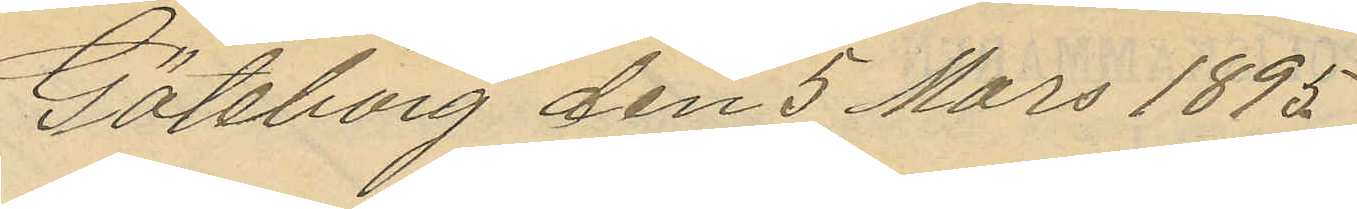Göteborg den 5 Mars 1895
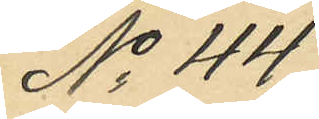No 44
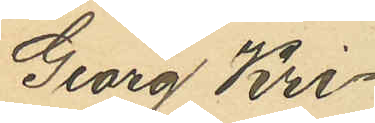Georg Kri¬
